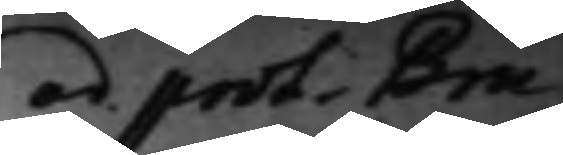ad prot. Bru¬
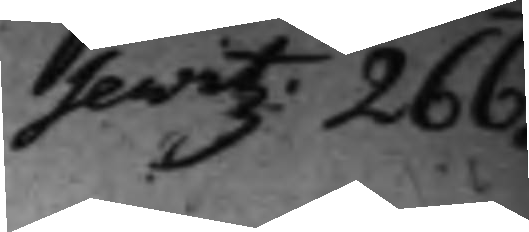sewitz: 266.
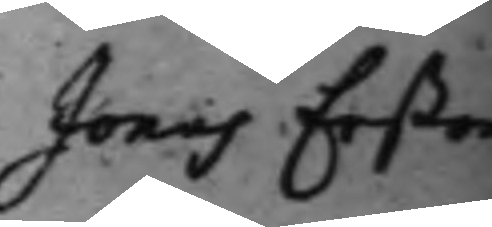Jonas Erßon
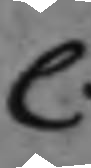C.
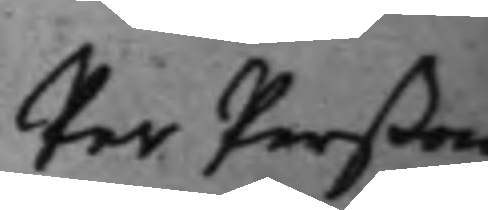Per Perßon
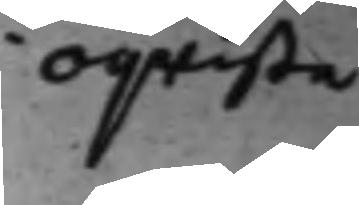i Oqwista
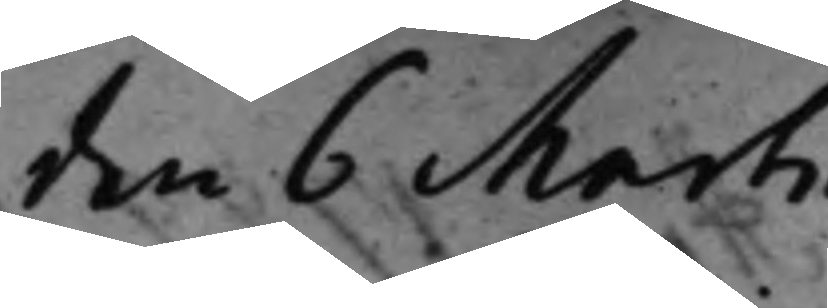den 6 Martii
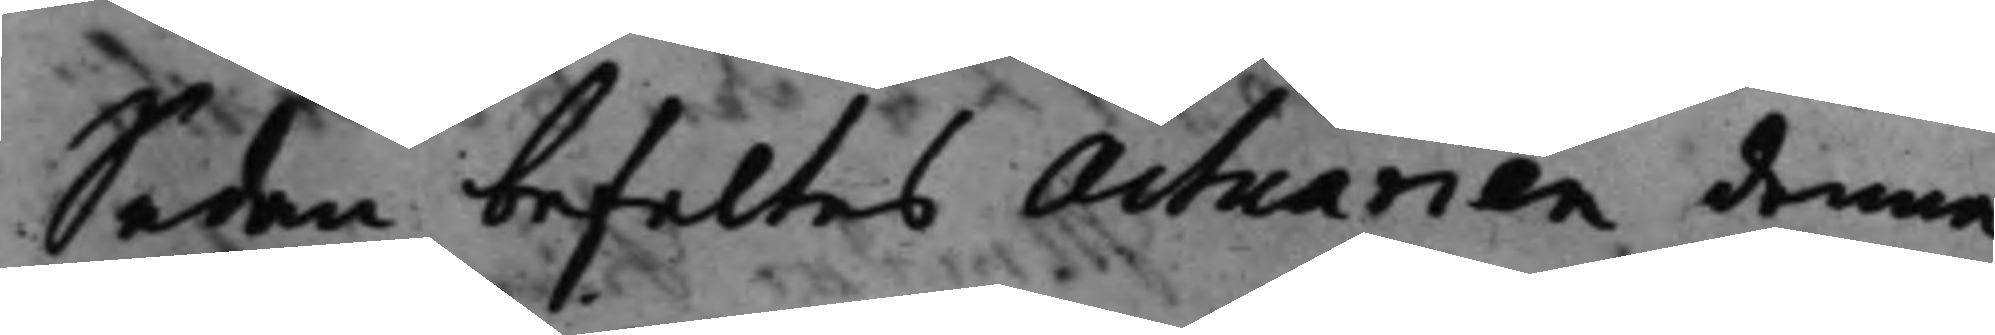Sedan befaltes Actuarien denna
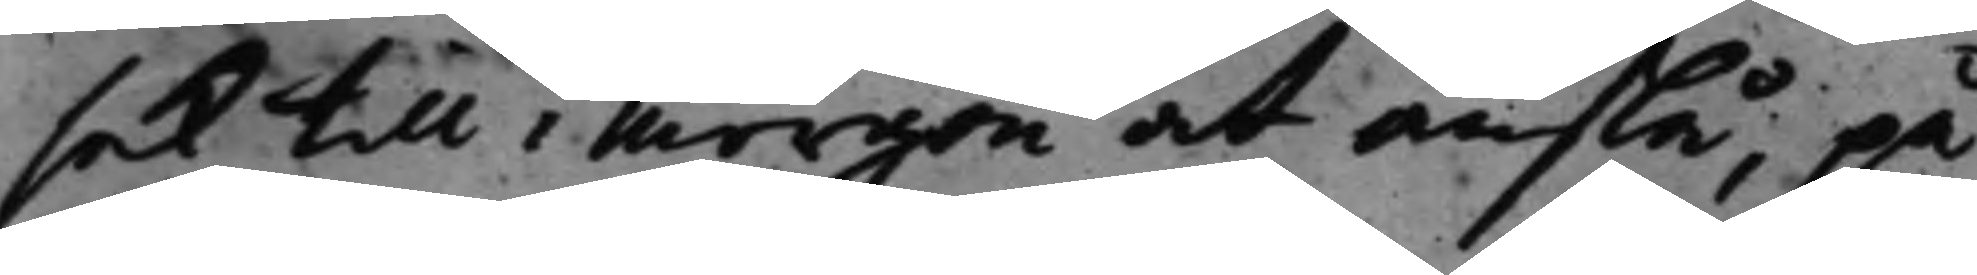sak till i morgon at anslå, på
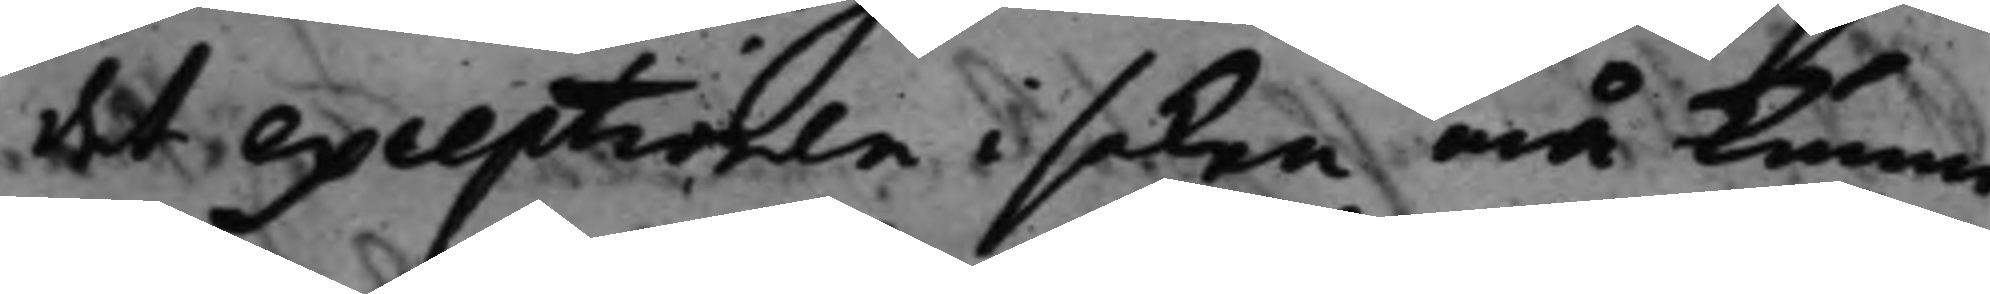det exceptionen i saken må kunna
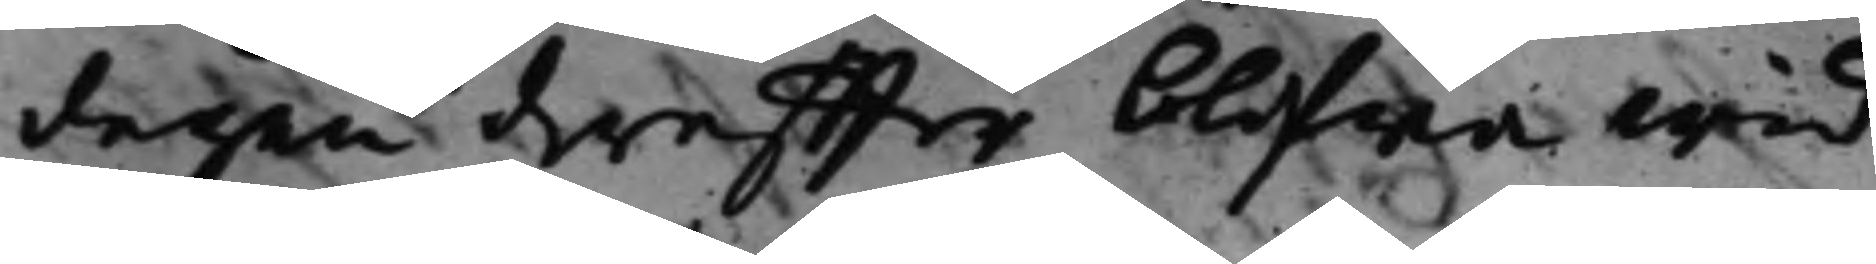dagen dereffter blifwa wid
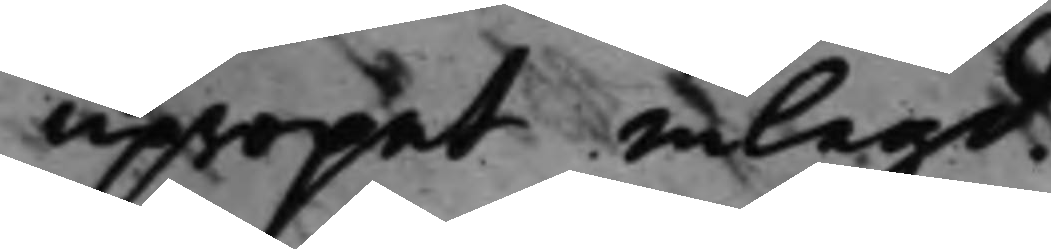upropet inlagd.
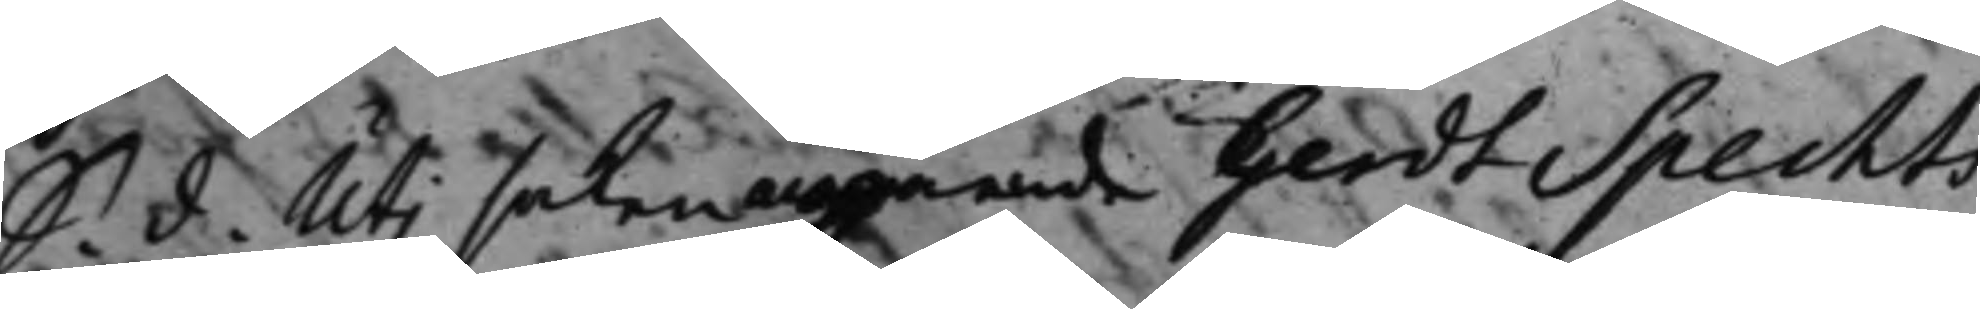S. d. Uti saken angående Gerdt Spechts
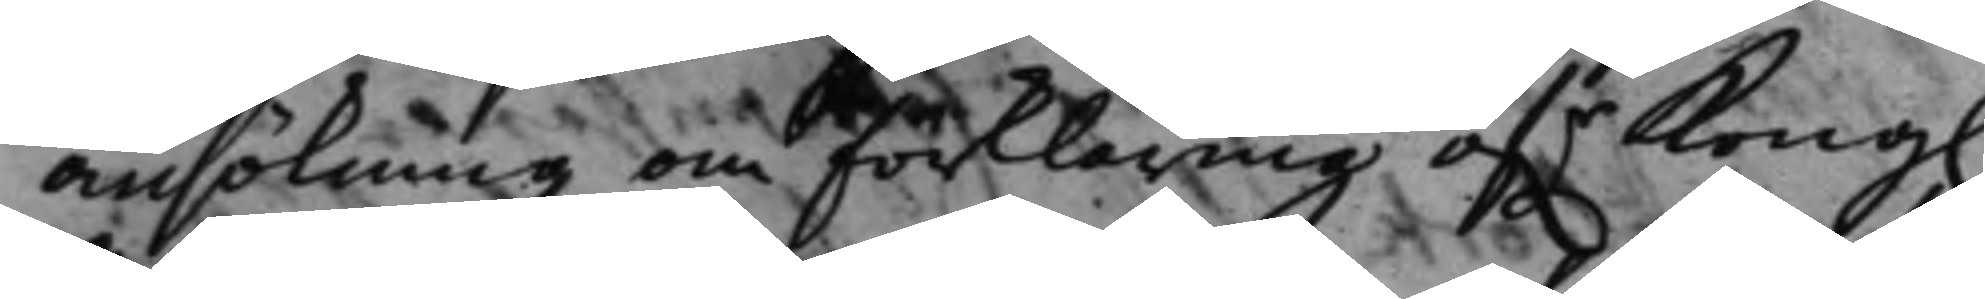ansökning om förklaring öf.r Kong.
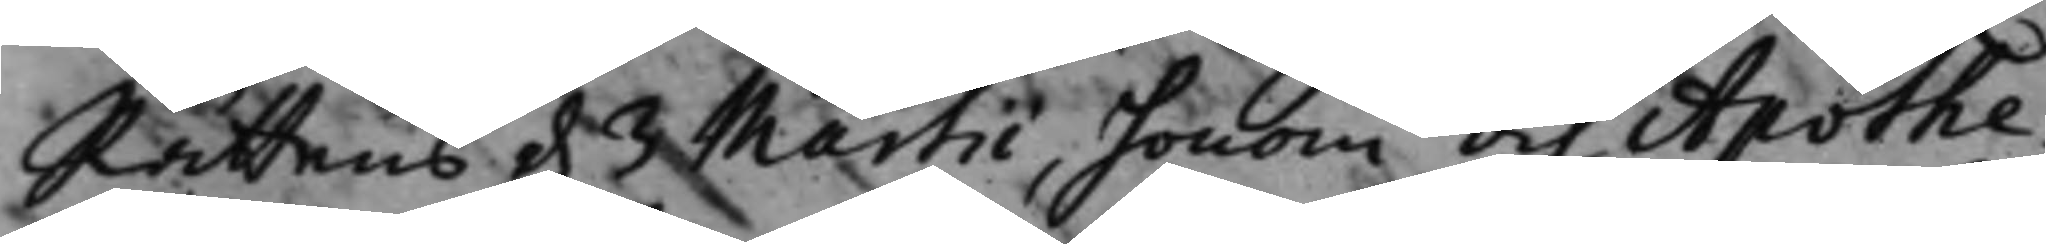Rättens d. 3 Martii, honom och Apothe¬
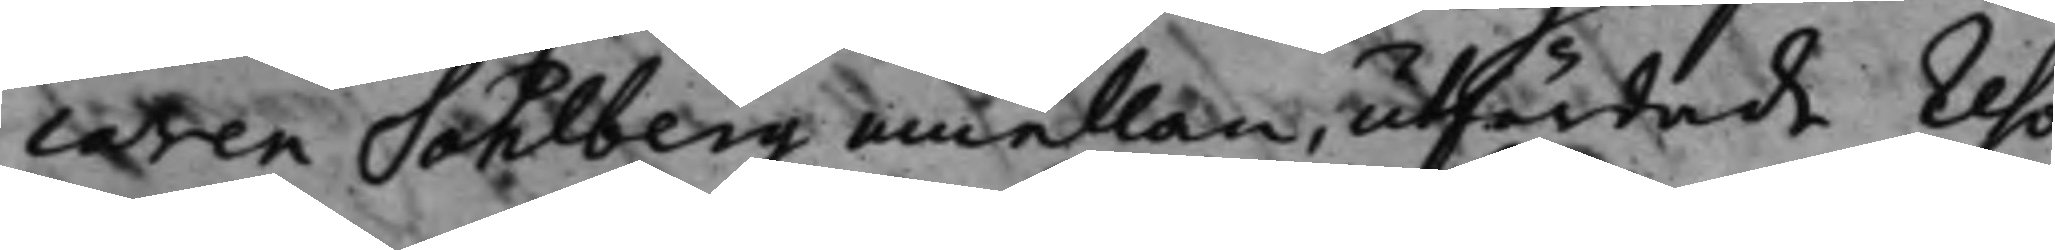caten Sahlberg emellan, utfärdade reso¬
